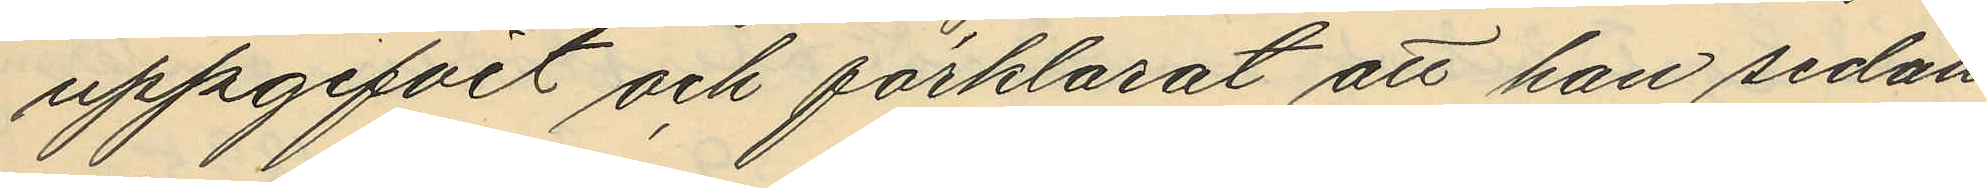uppgifvit och förklarat att han sedan
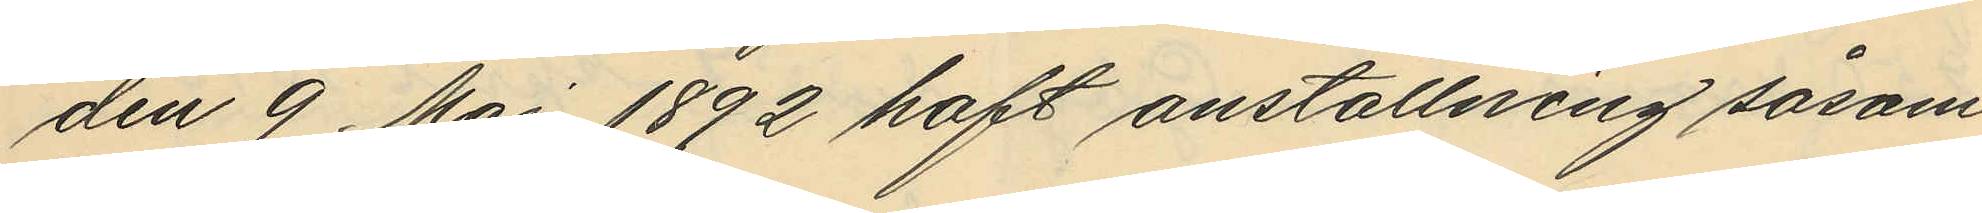den 9 Maj 1892 haft anställning såsom
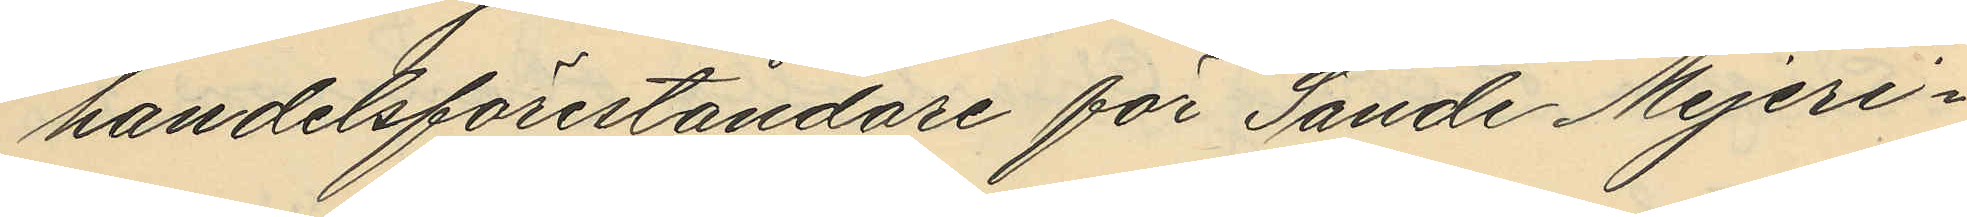handelsföreståndare för Sande Mejeri¬
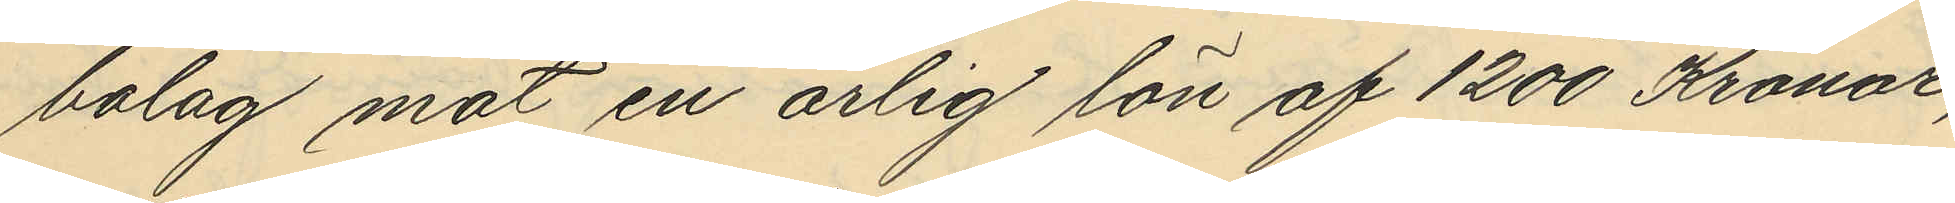bolag mot en årlig lön af 1200 Kronor,
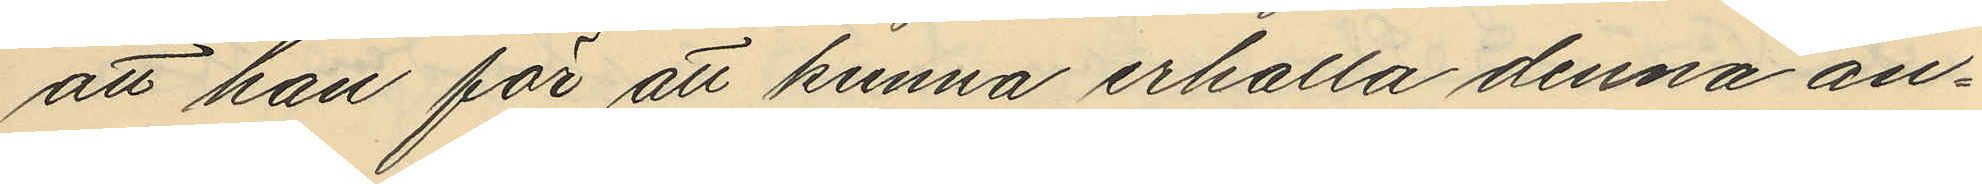att han för att kunna erhålla denna an¬
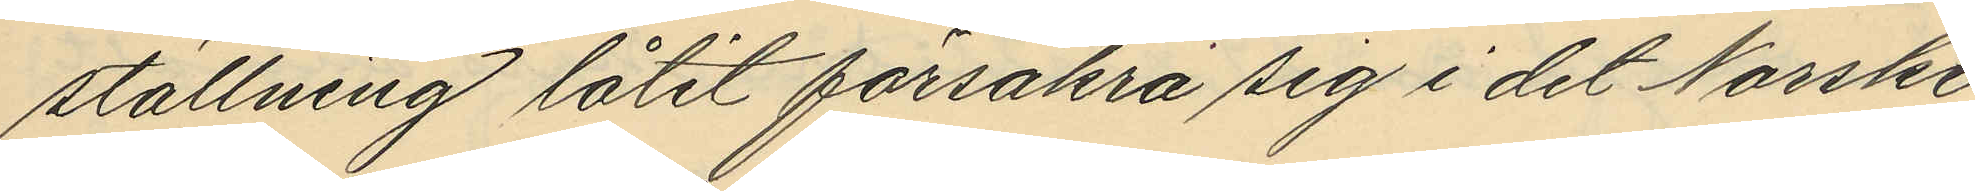ställning låtit försäkra sig i det Norske
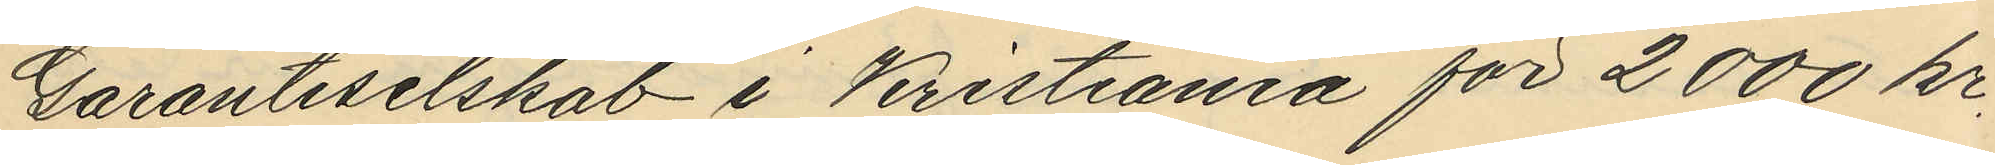Garantiselskab i Kristiania för 2000 kr.
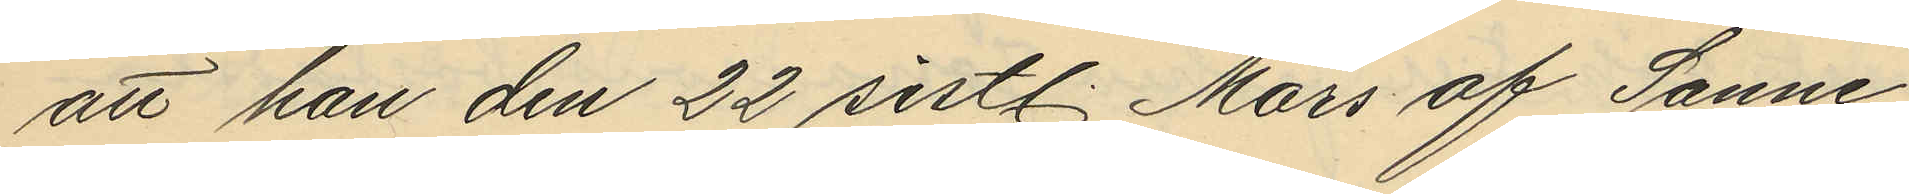att han den 22 sistl. Mars af Sanne
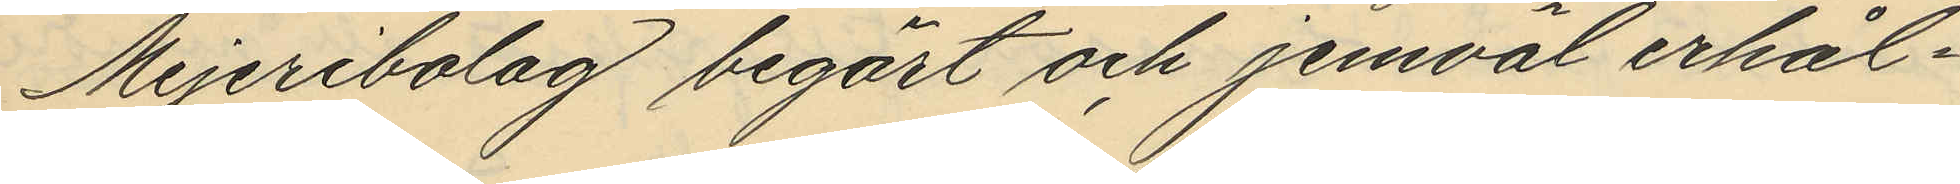Mejeribolag begärt och jemväl erhål¬
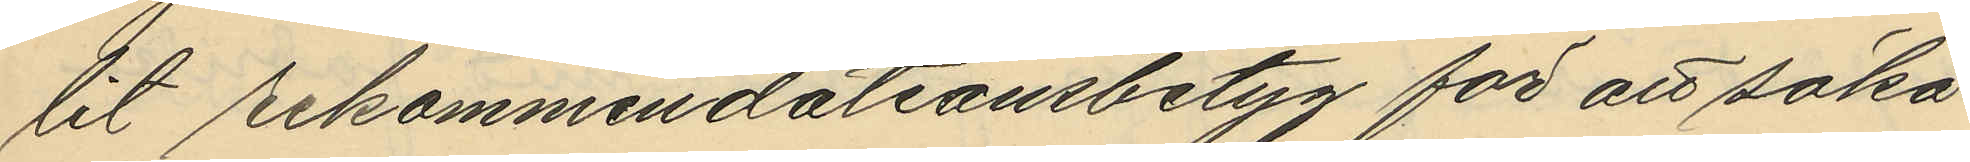lit rekommendationsbetyg för att söka
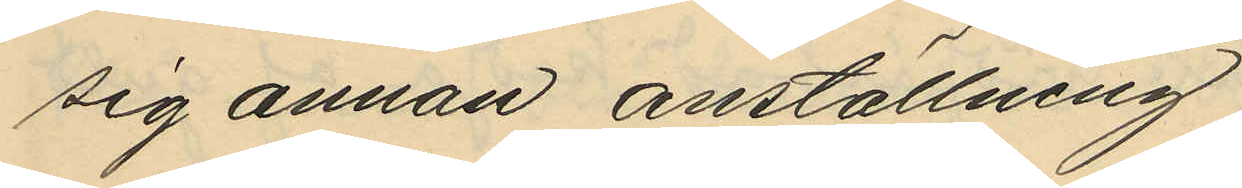sig annan anställning,
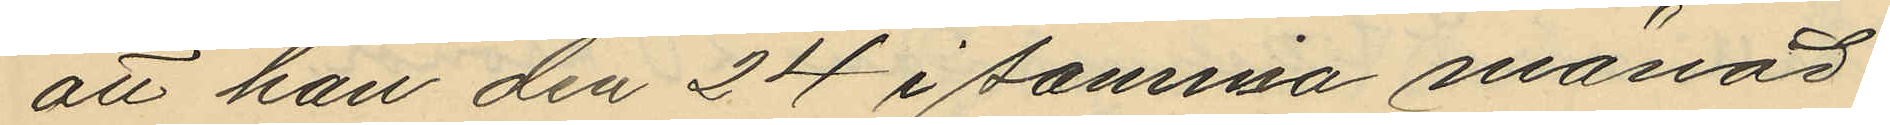att han den 24 i samma månad
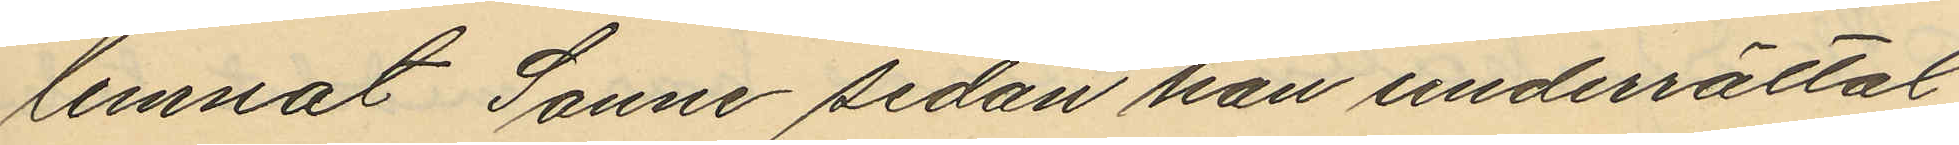lemnat Sanne sedan han underrättat
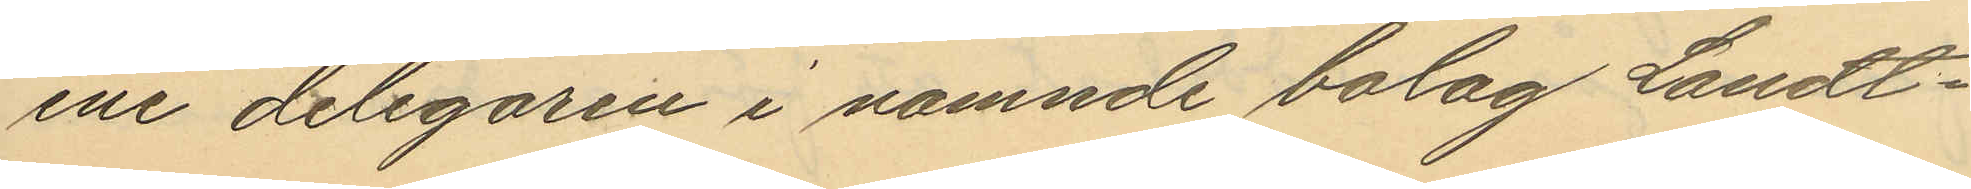ene delegaren i nämnde bolag Landt¬
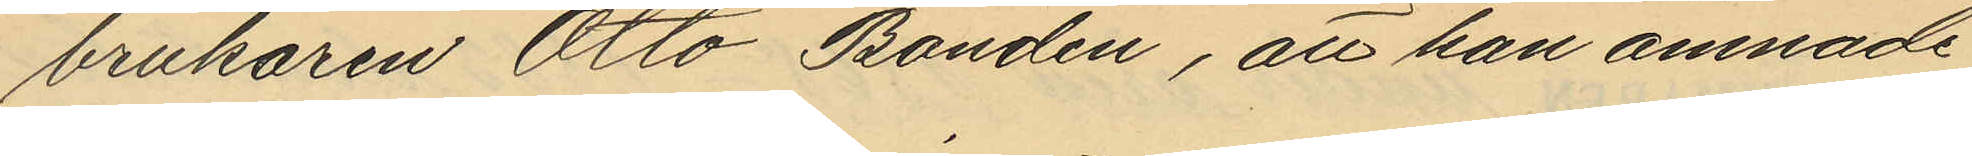brukaren Otto Bonden, att han ämnade
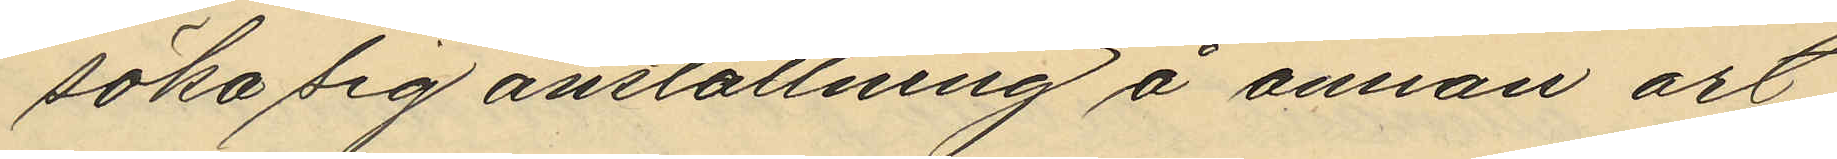söka sig anställning å annan ort
